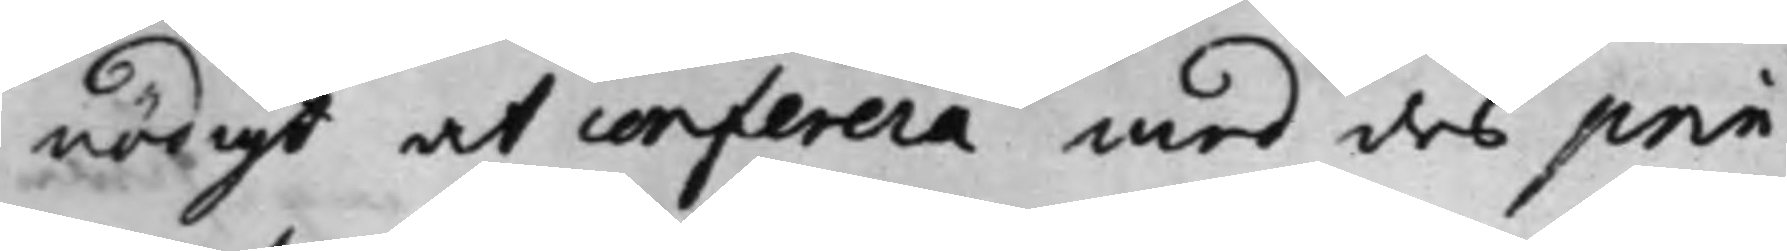nödigt at conferera med des prin¬
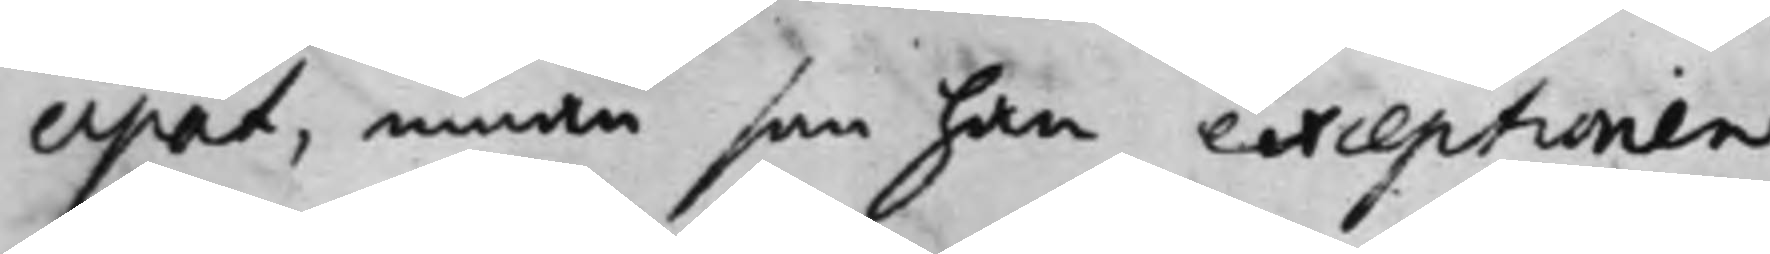cipal, innan som han exceptionen
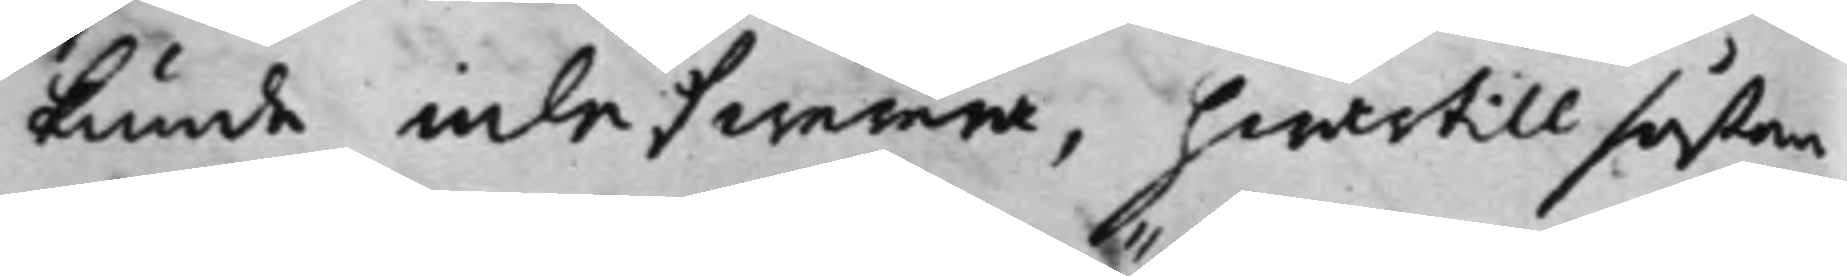kunde inlefwerera, hwartill såßom
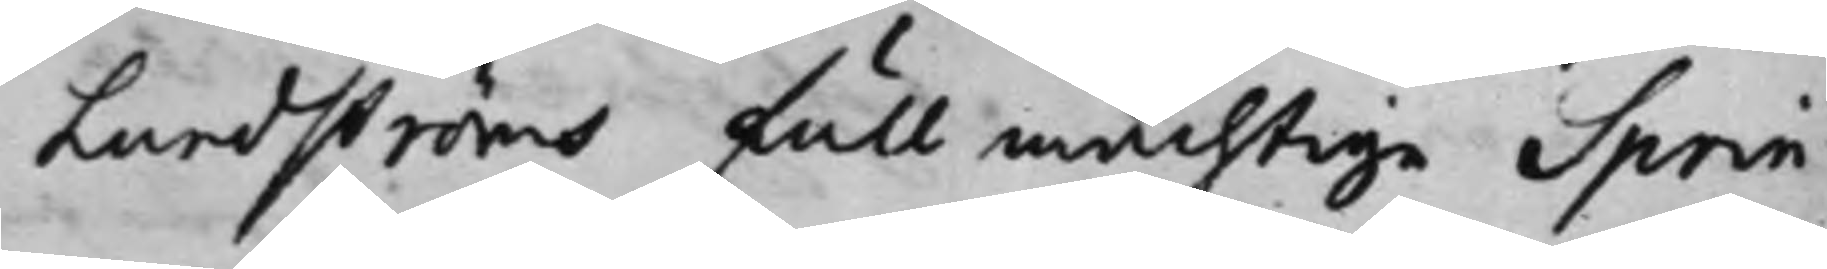Lundströms fullmächtige Sprin¬
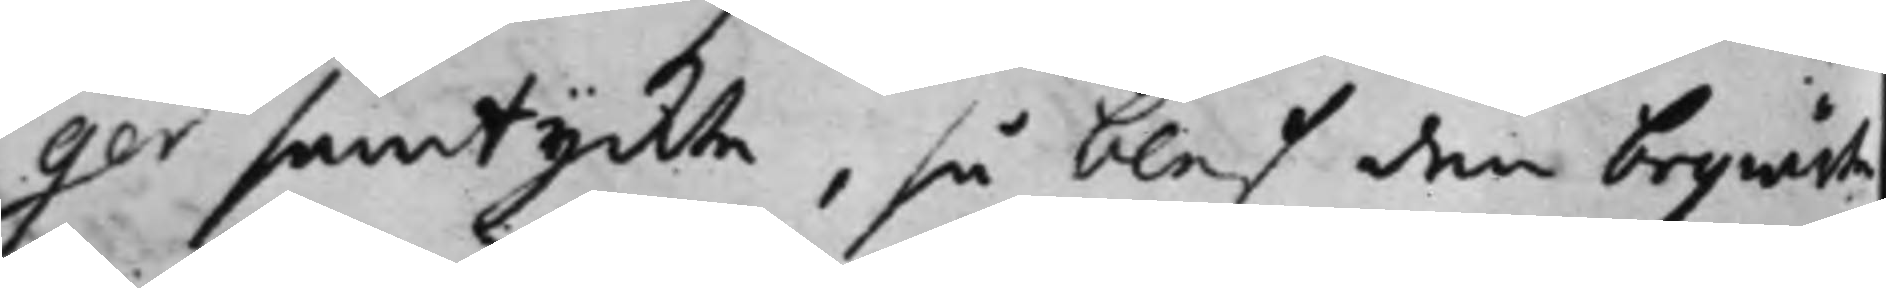ger samtyckte, så blef den begiärte
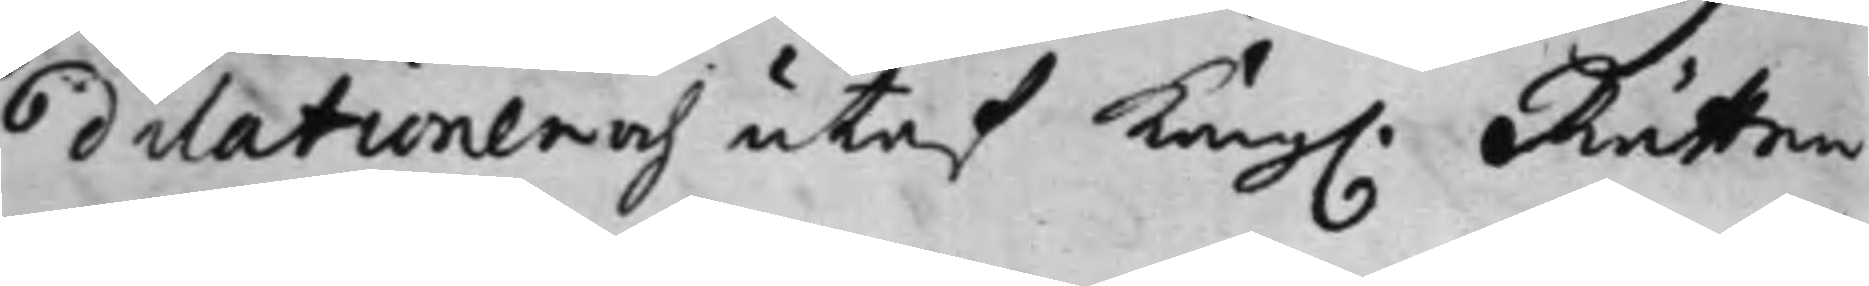dilationen och utaf Kong. Rätten
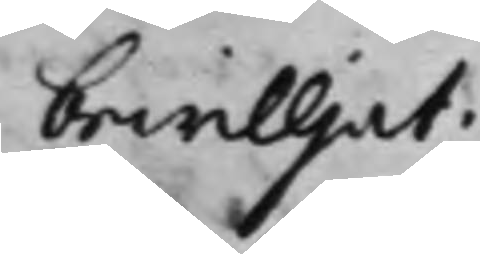bewilljat.
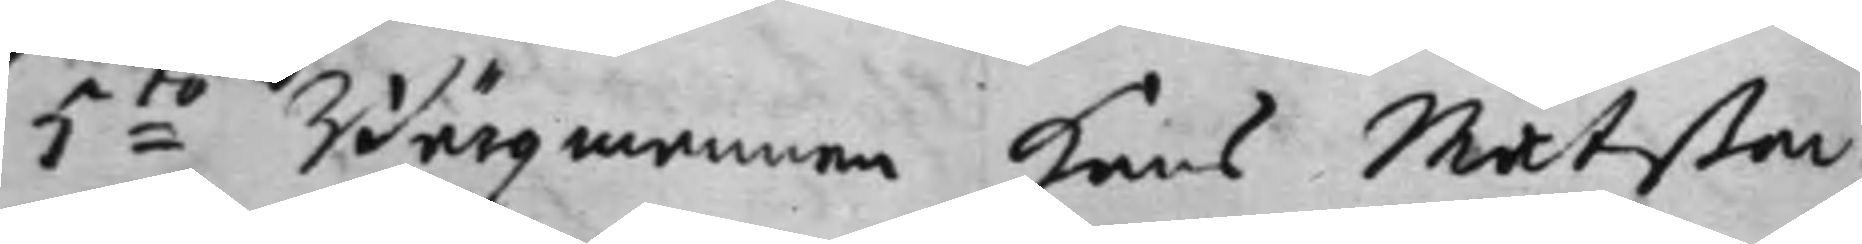5:to Bärgz mannen Hans Matßon;
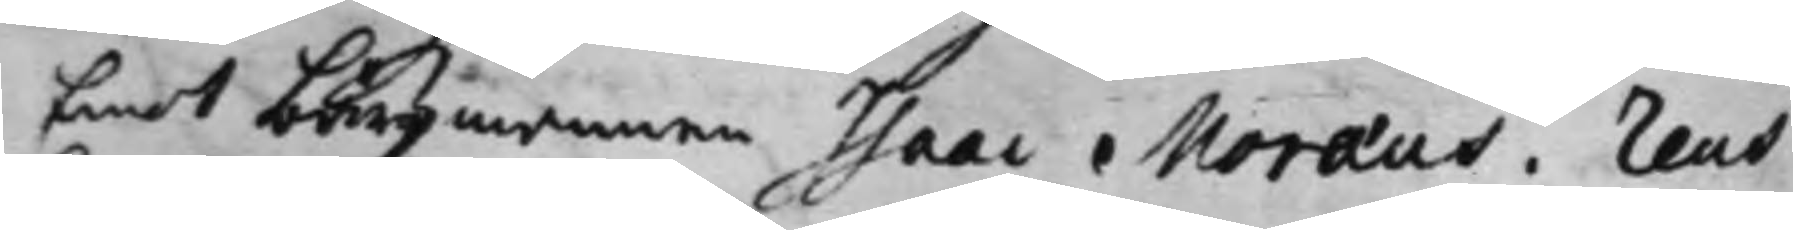Emot bärgz mannen Isaac Moraeus. Reus
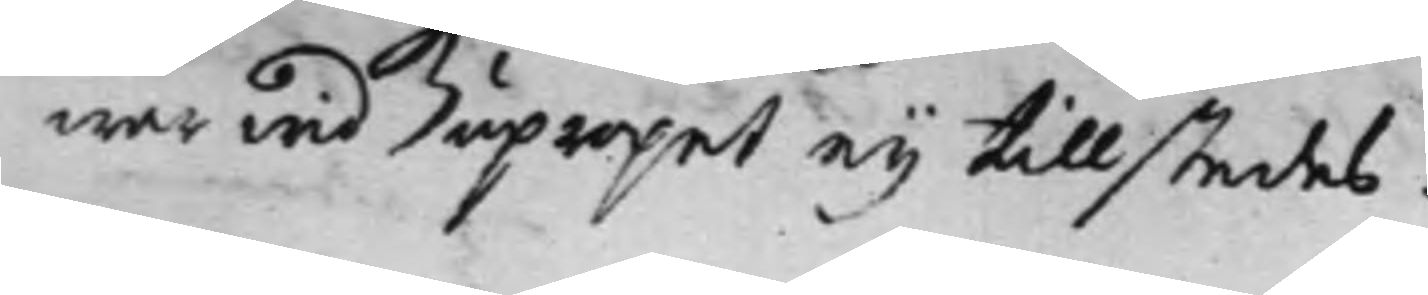war wid upropet ey tillstedes.
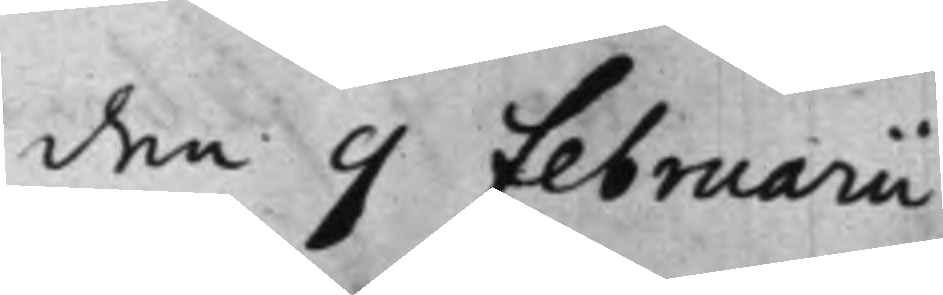den 9 Februarii
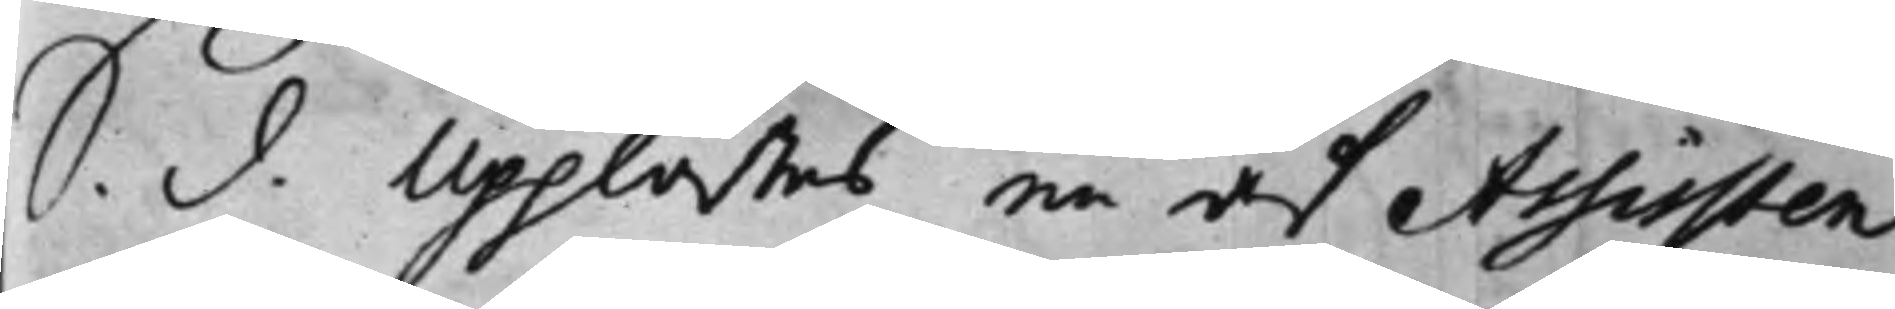S. d. Upplästes en af Assisten¬
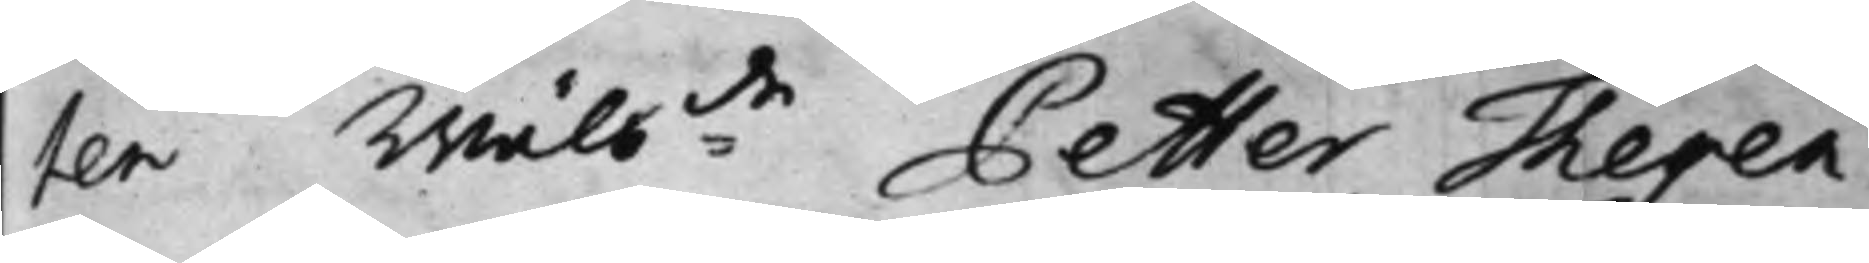ten Wälb:de Petter Thegen¬
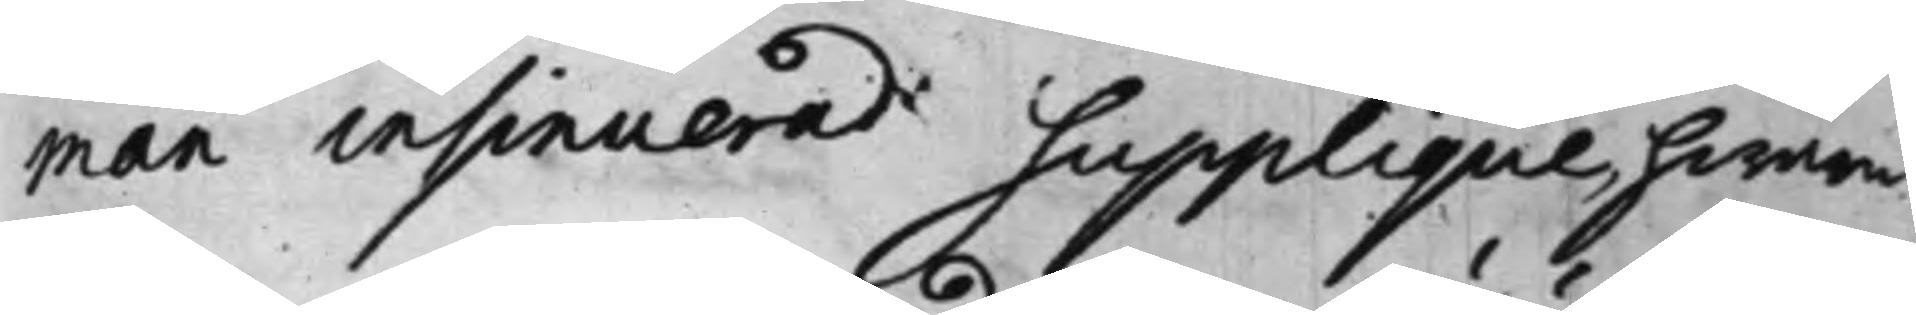man insinuerad Supplique, hwaru¬
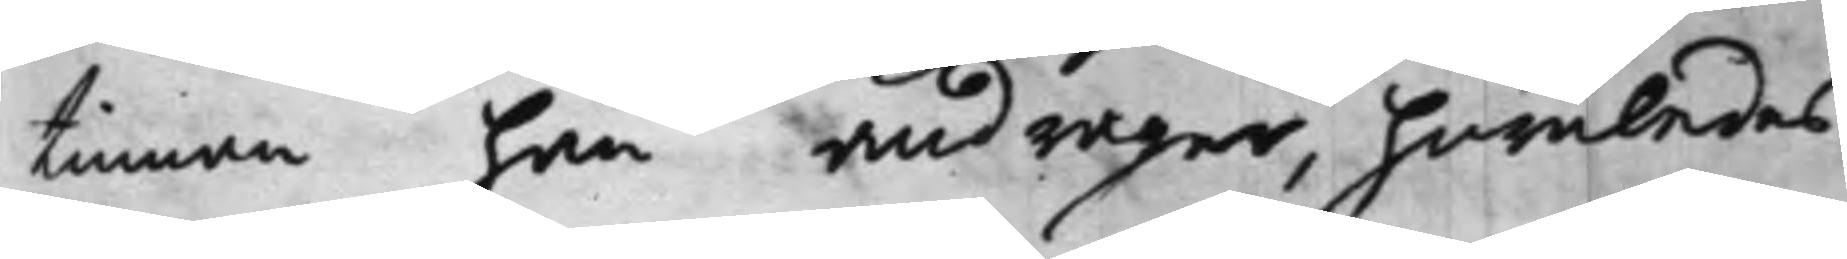tinnan han andrager, huruledes
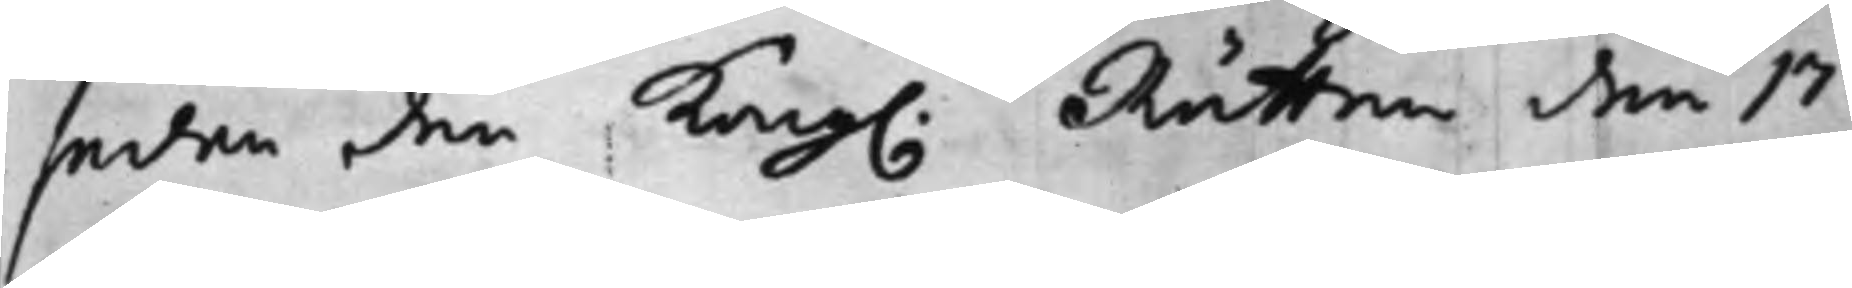sedan den Kong. Rätten den 17
